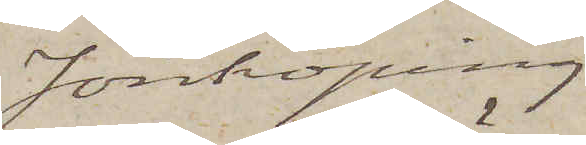Jönköping.
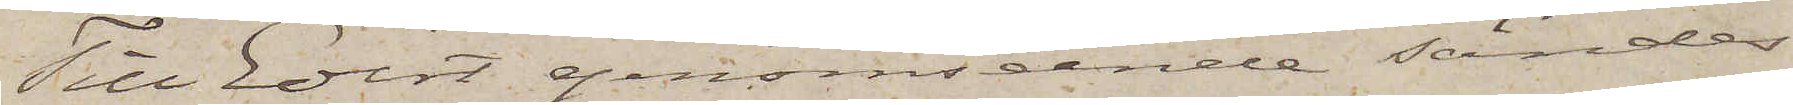Till Edert genomseende sänder
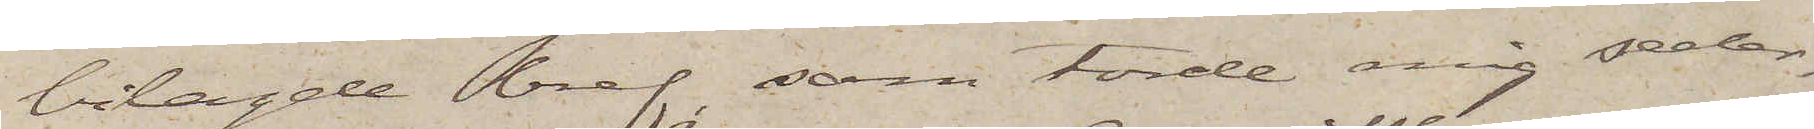bilagde bref, som torde mig seder¬
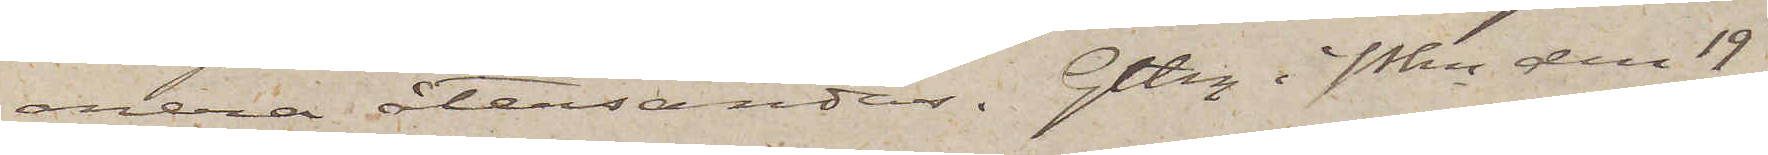mera återsändas. Gtbg i Pkn den 19
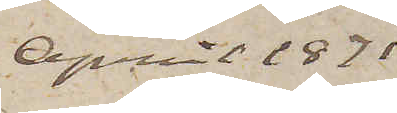April 1871
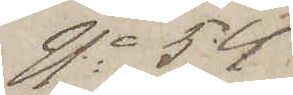No 54.
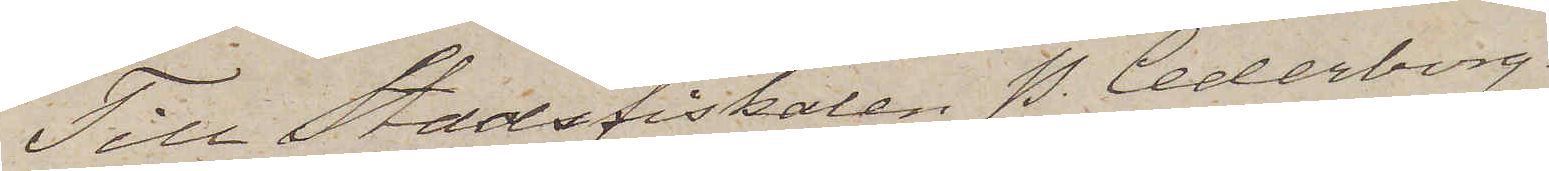Till Stadsfiskalen P. Cederborg,
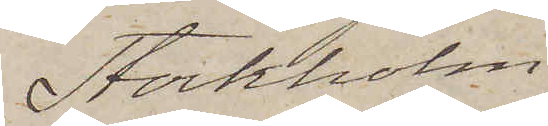Stockholm
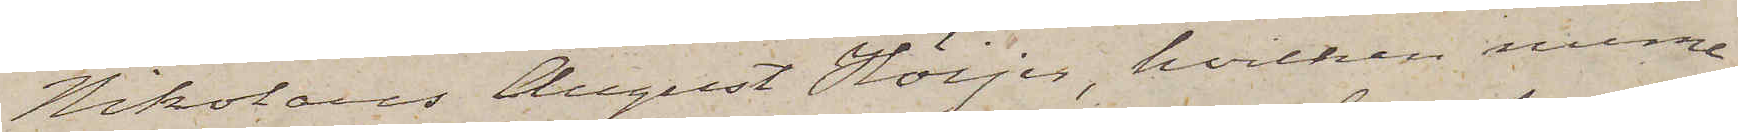Nikolaus August Höijer, hvilken nume¬
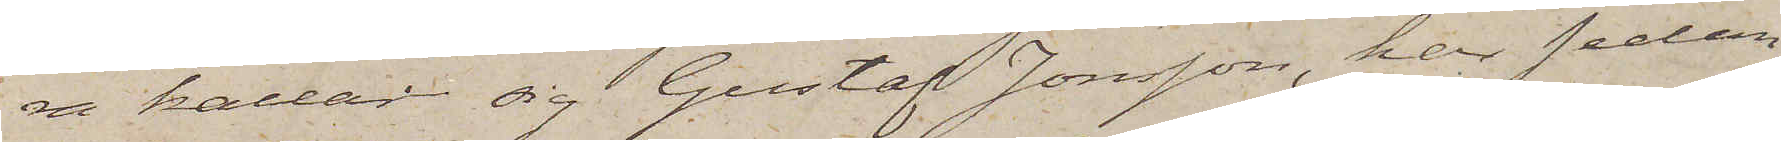en kallad sig Gustaf Jonsson, har sedan
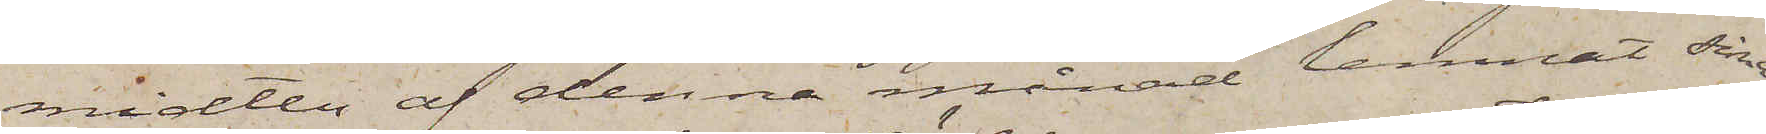midten af denna månad lemnat sina
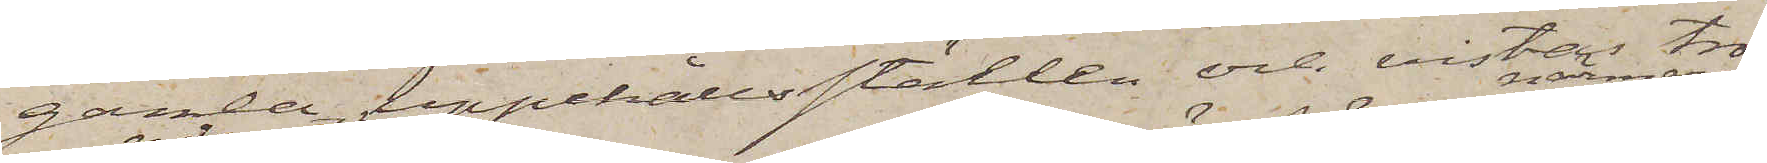gamla uppehållsställen och vistas tro¬
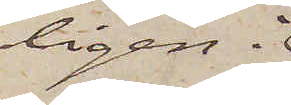ligen i
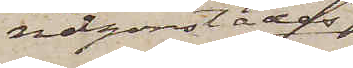någonstädes
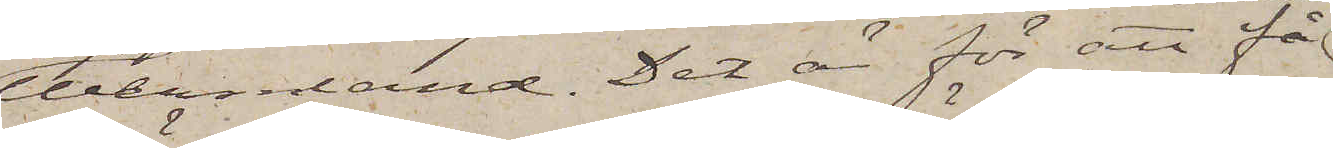Wermland. Det är för att få
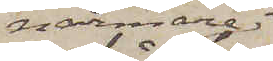närmare
